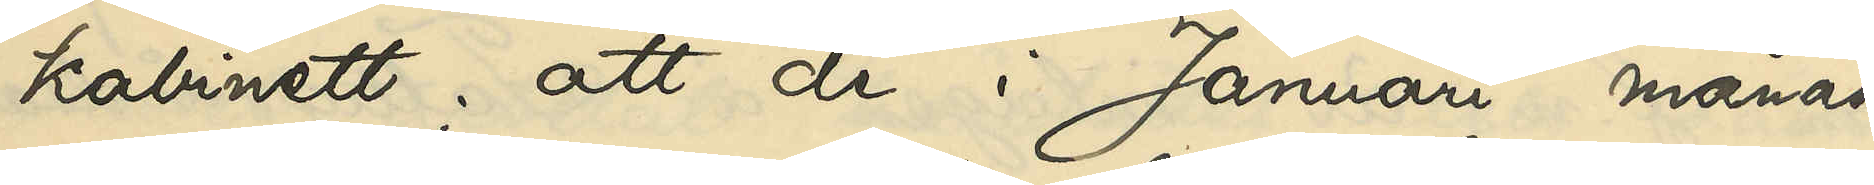kabinett; att de i Januari månad
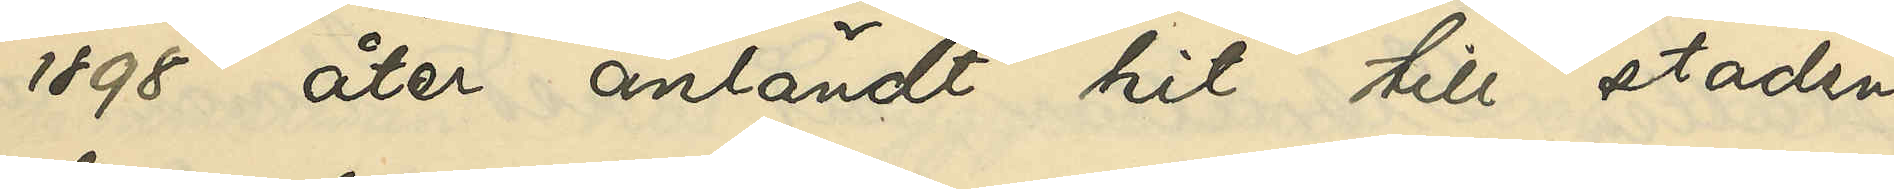1898 åter anländt hit till staden,
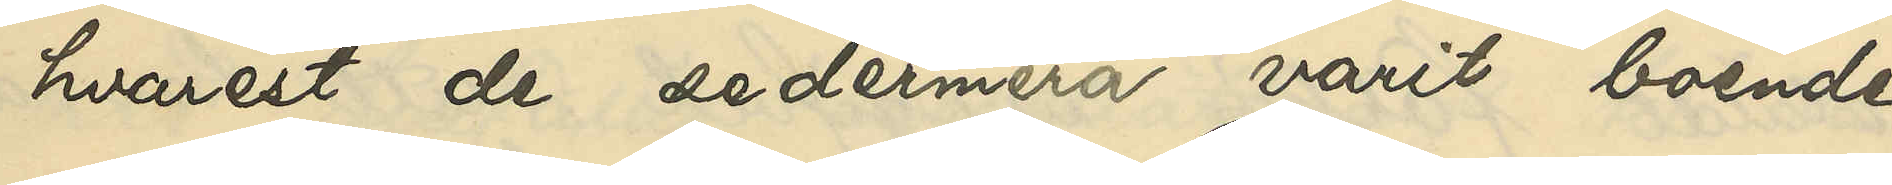hvarest de sedermera varit boende
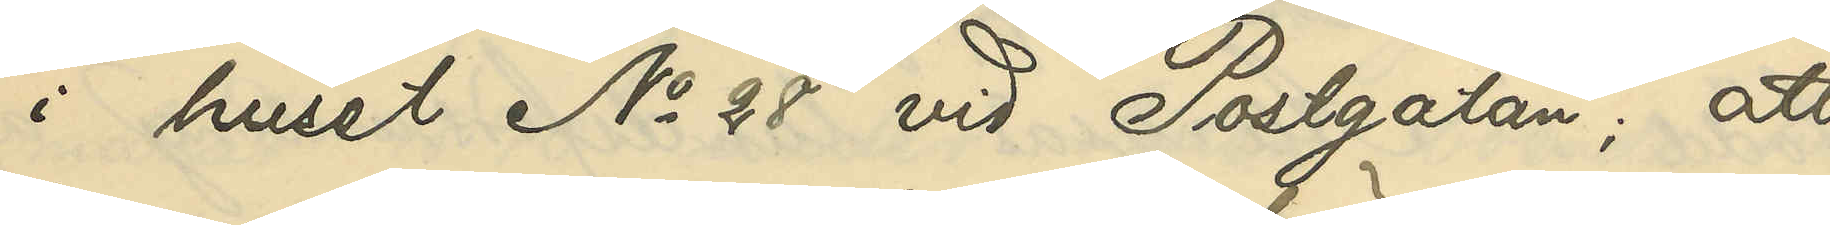i huset No 28 vid Postgatan; att
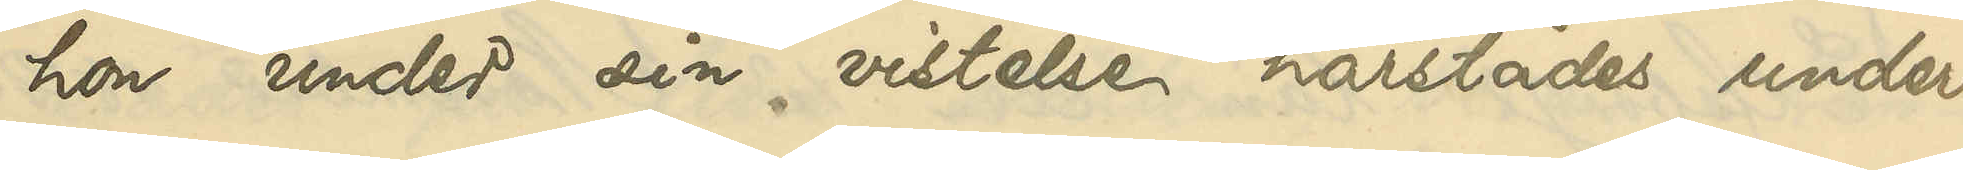hon under sin vistelse härstädes under¬
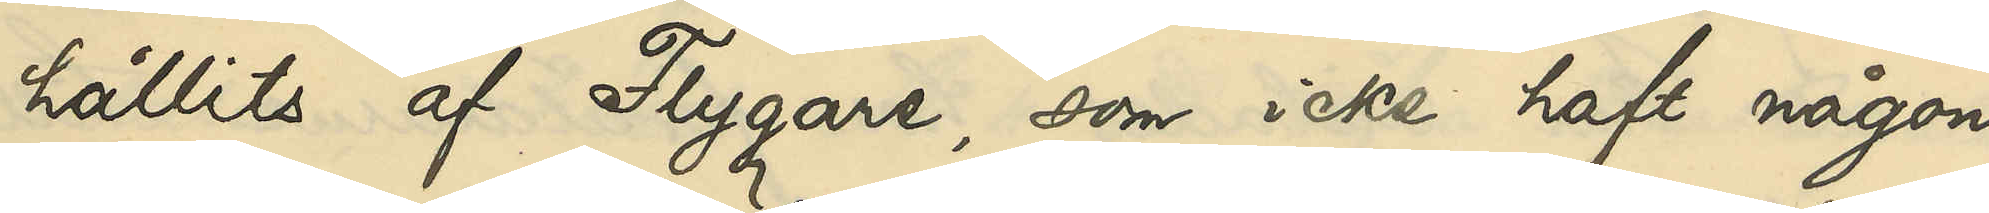hållits af Flygare, som icke haft någon
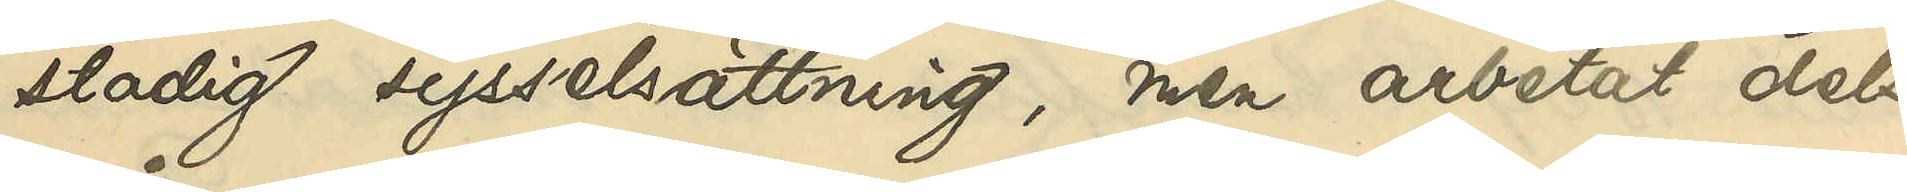stadig sysselsättning, men arbetat dels
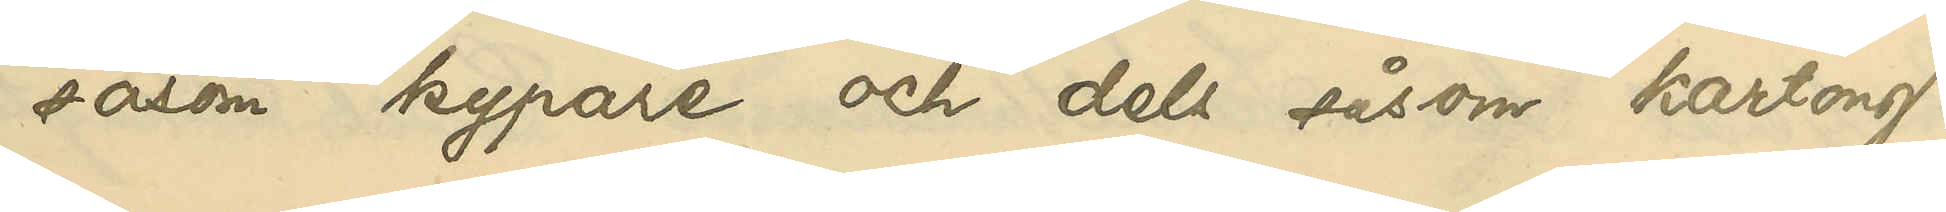såsom kypare och dels såsom kartong¬
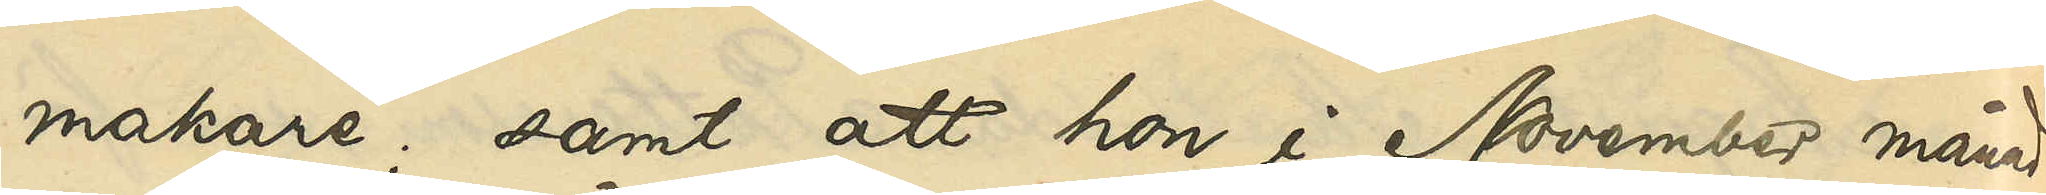makare; samt att hon i November månad
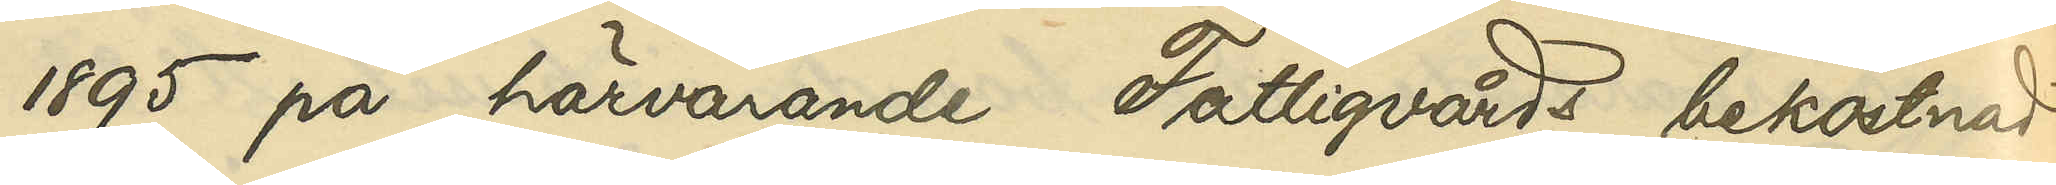1895 på härvarande Fattigvårds bekostnad
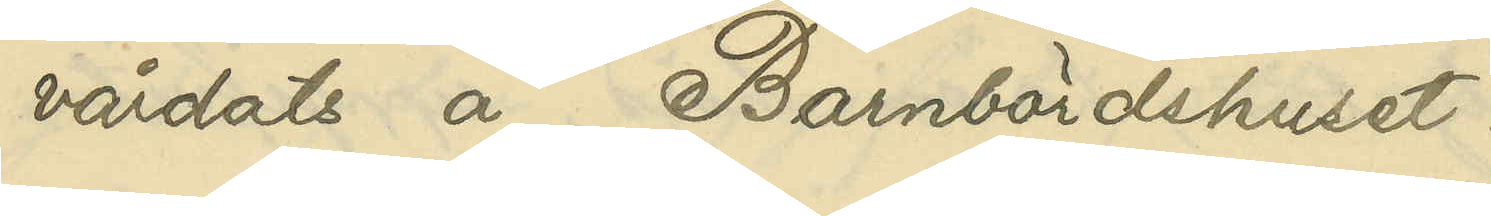vårdats å Barnbördshuset.
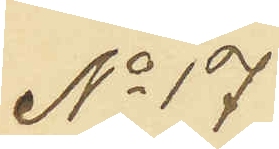No 17
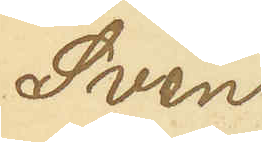Sven
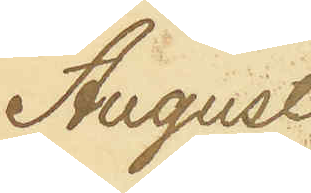August
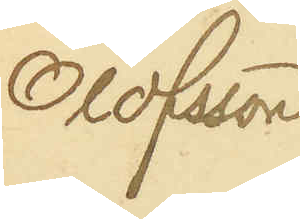Olofsson
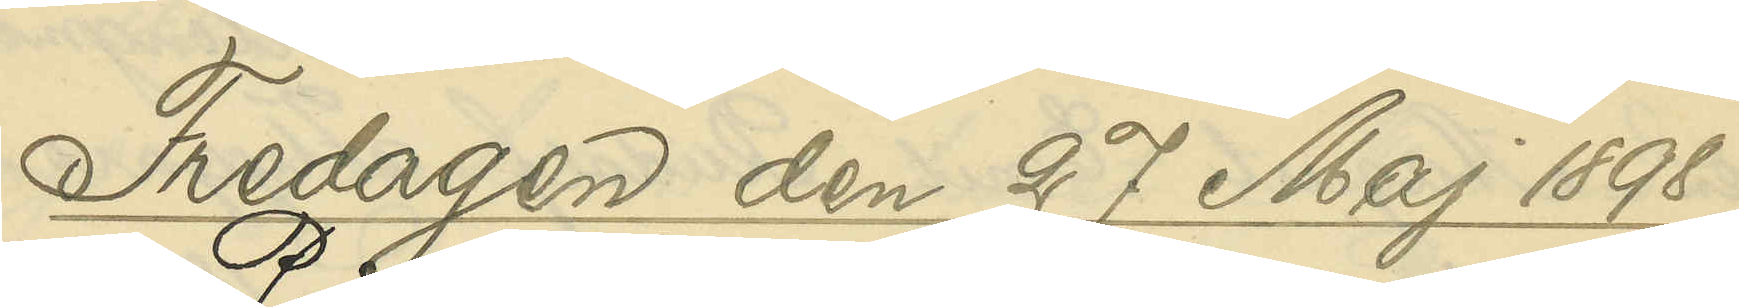Fredagen den 27 Maj 1898.
